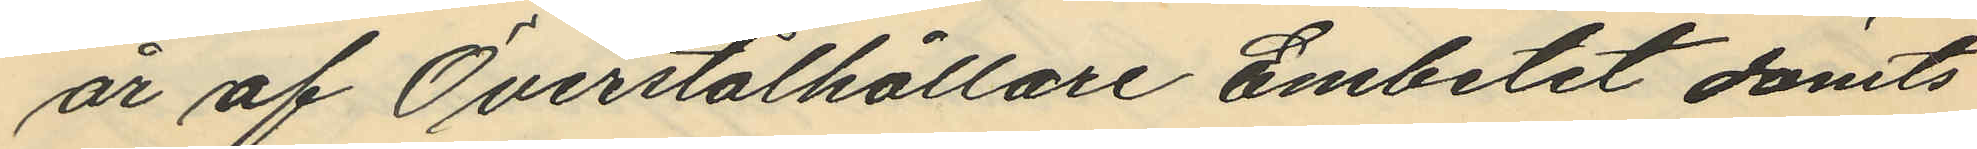år af Överstålhållare Embetet dömts
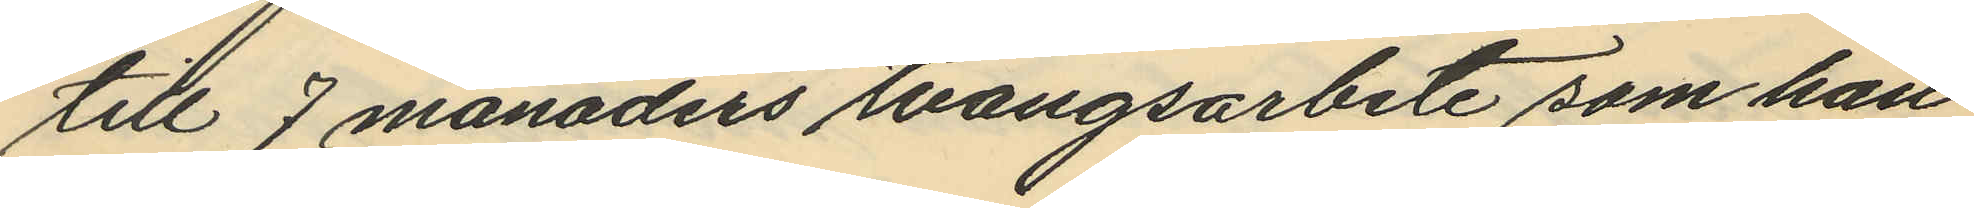till 7 månaders tvångsarbete som han
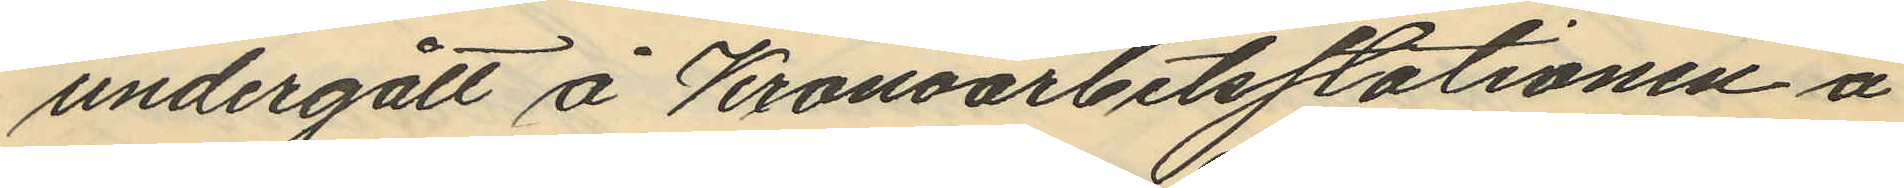undergått å Kronoarbetsstationen å
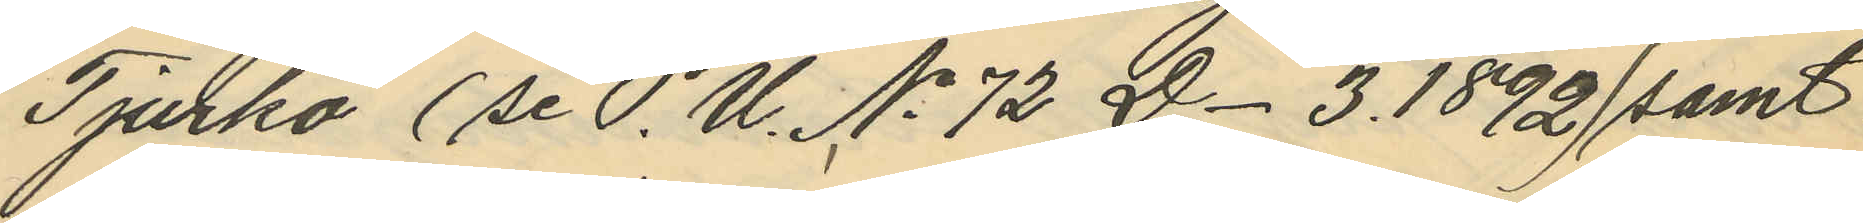Tjurkö (se P.U. No  72 D. 3. 1892) samt
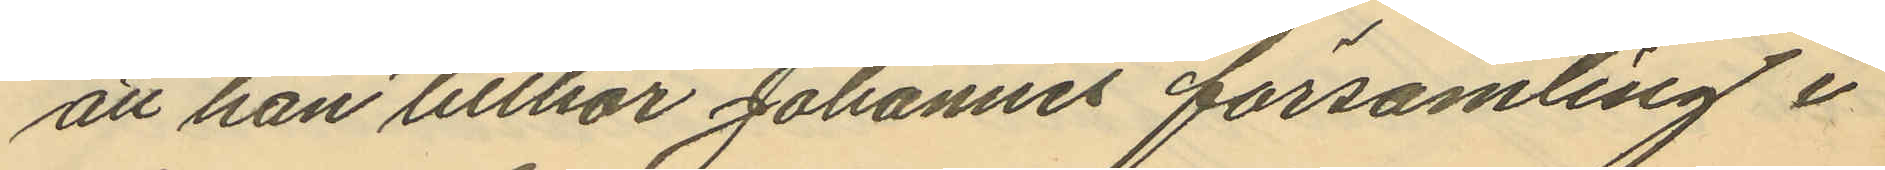att han tillhör Johannes församling i
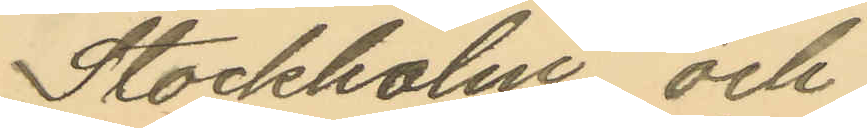Stockholm och
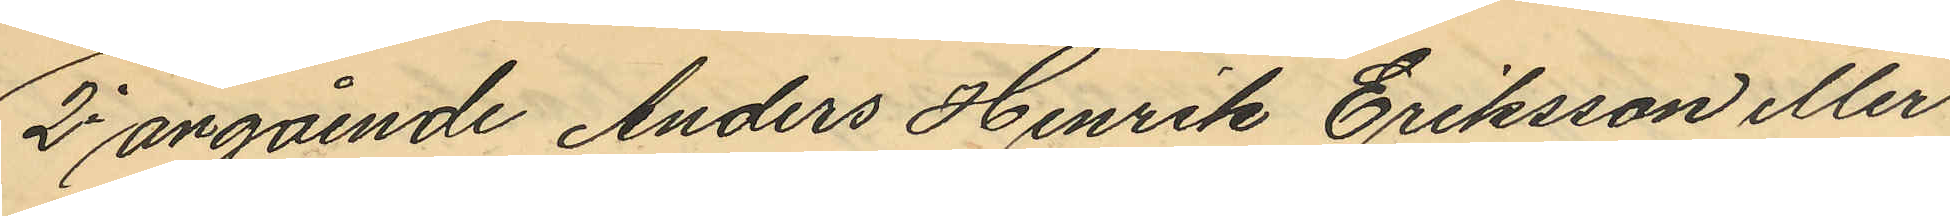2o angående Anders Henrik Eriksson eller
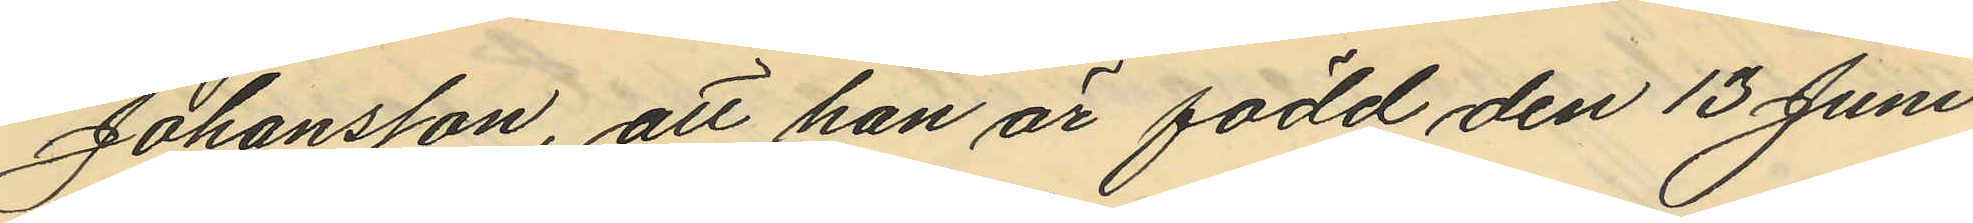Johansson, att han är född den 13 Juni
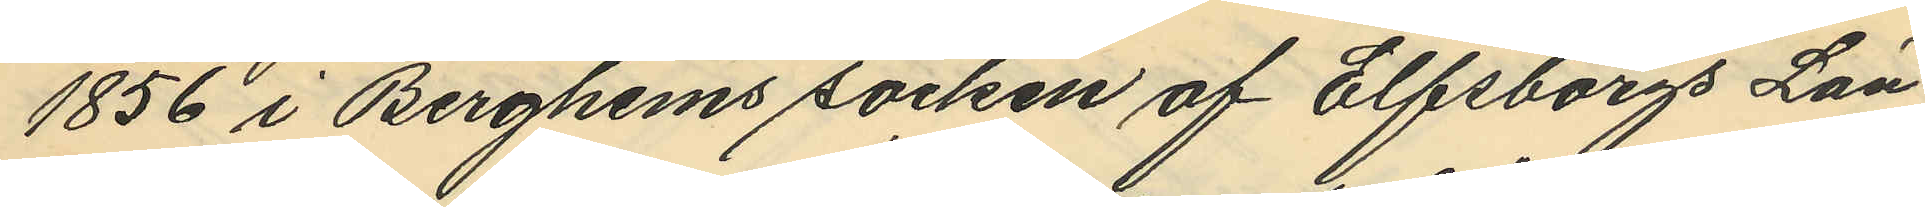1856 i Berghems socken af Elfsborgs Län;
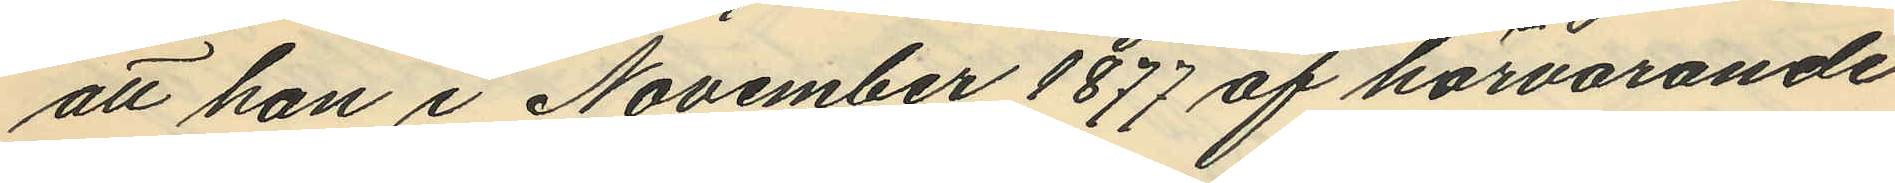att han i November 1877 af härvarande
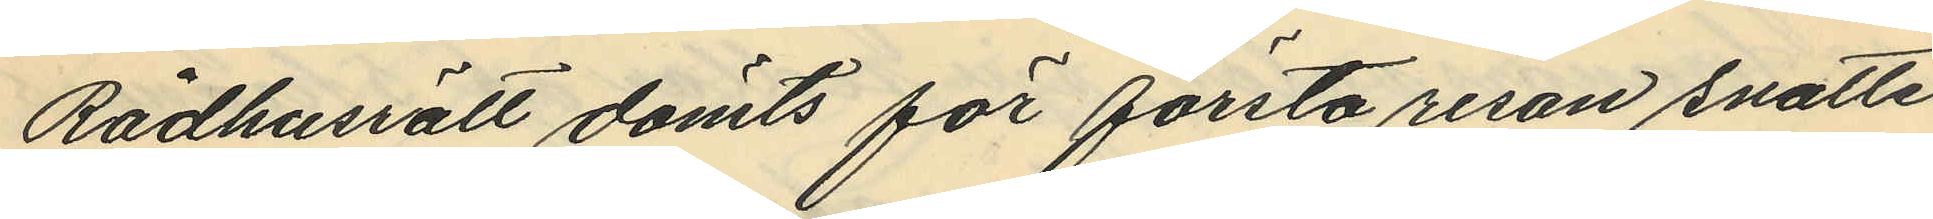Rådhusrätt dömts för första resan snatte
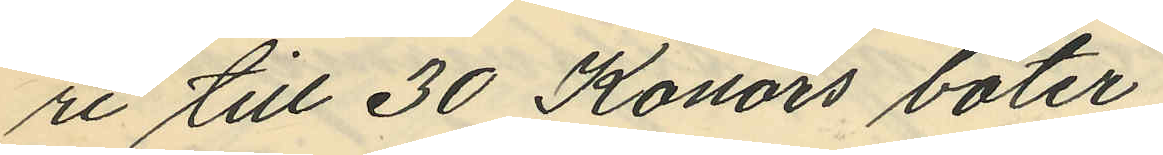ri till 30 Konors böter;
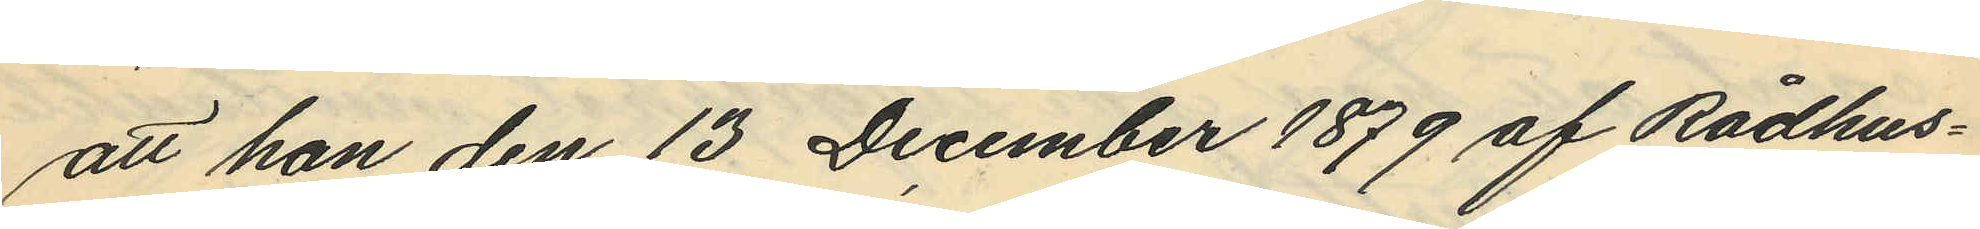att han den 13 December 1879 af Rådhus¬
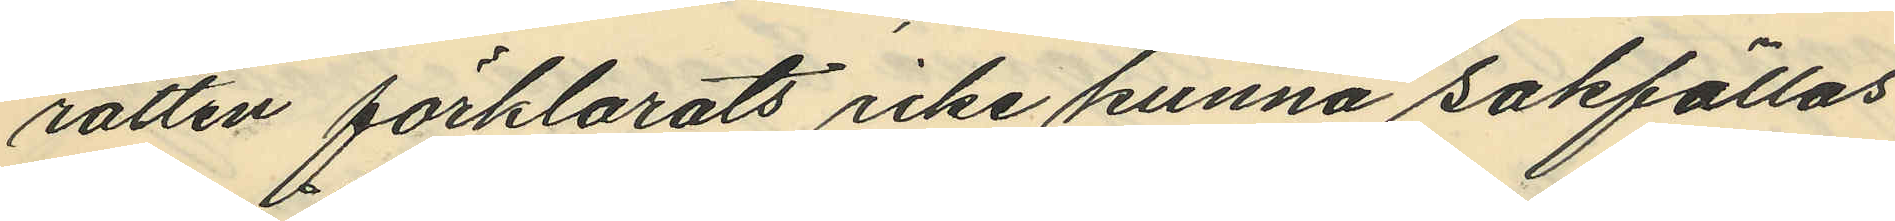rätten förklarats icke kunna sakfällas
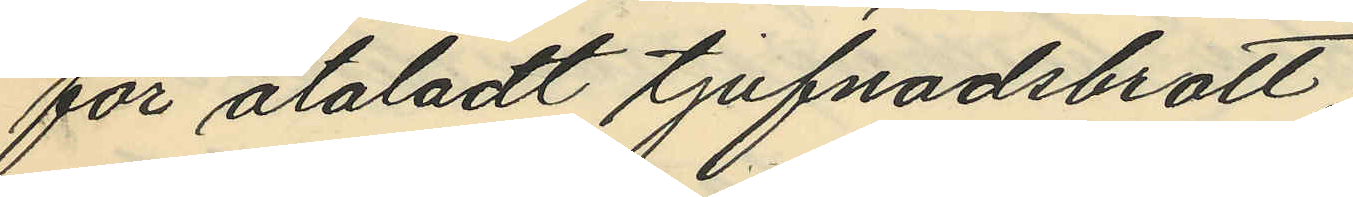för åtaladt tjufnadsbrott;
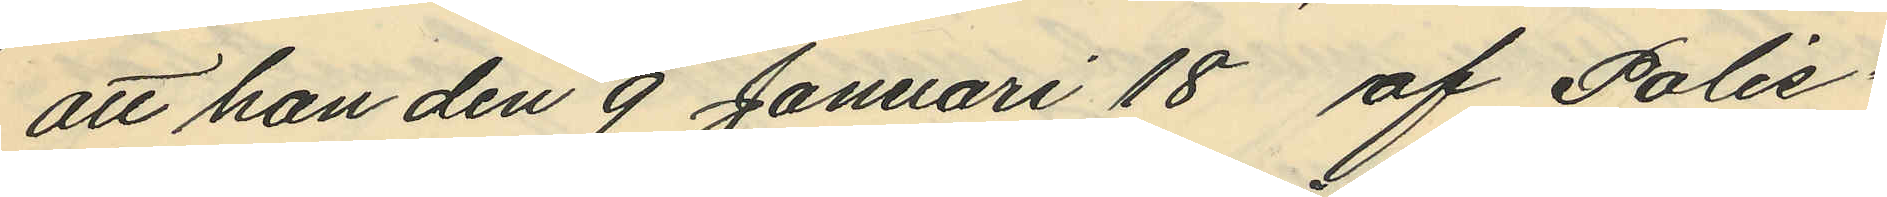att han den 9 Januari 18 af Polis¬
